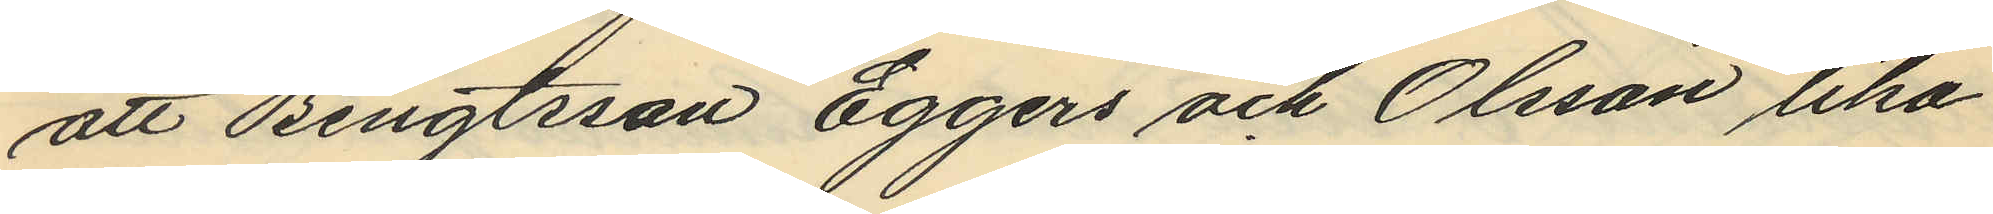att Bengtsson Eggers och Olsson lika
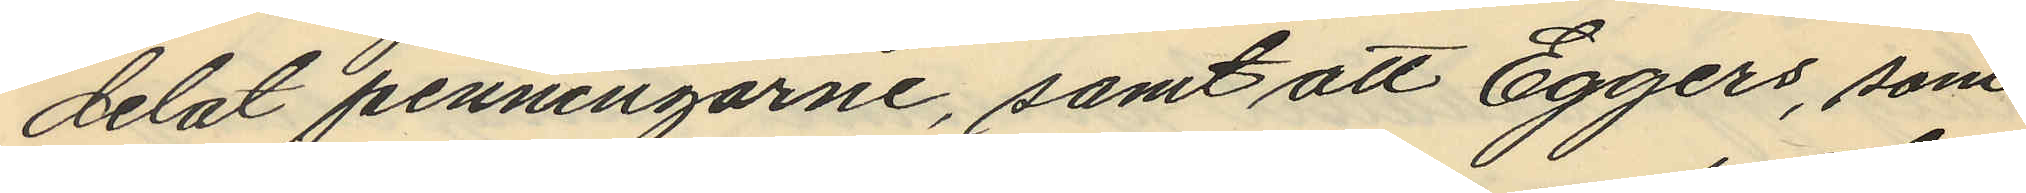delat penningarne, samt att Eggers, som
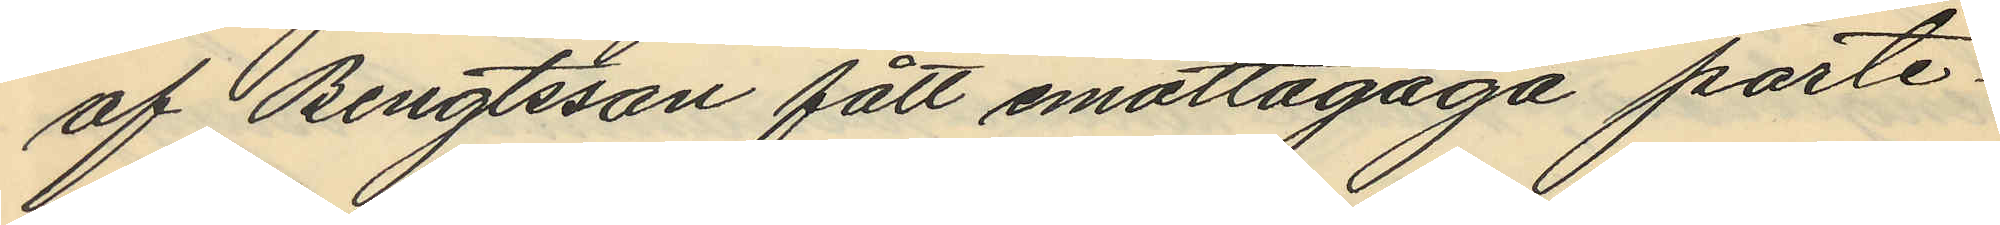af Bengtsson fått emottagaga porte¬
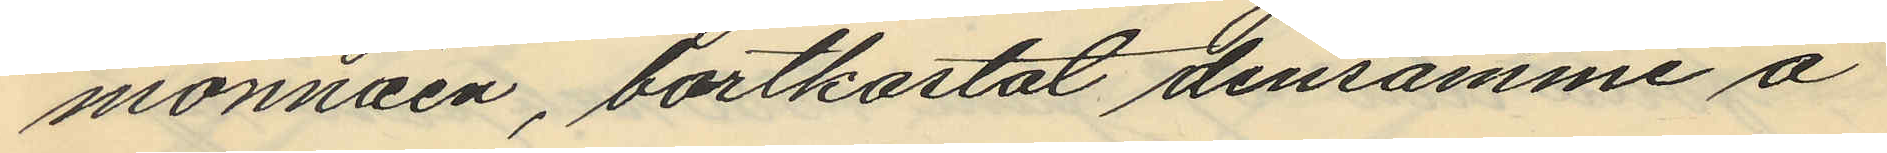monnäen, bortkastat densamme å
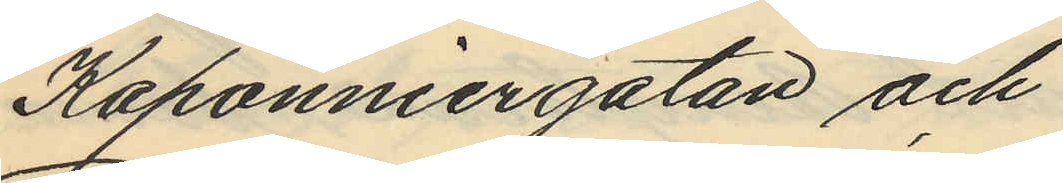Kaponniergatan och
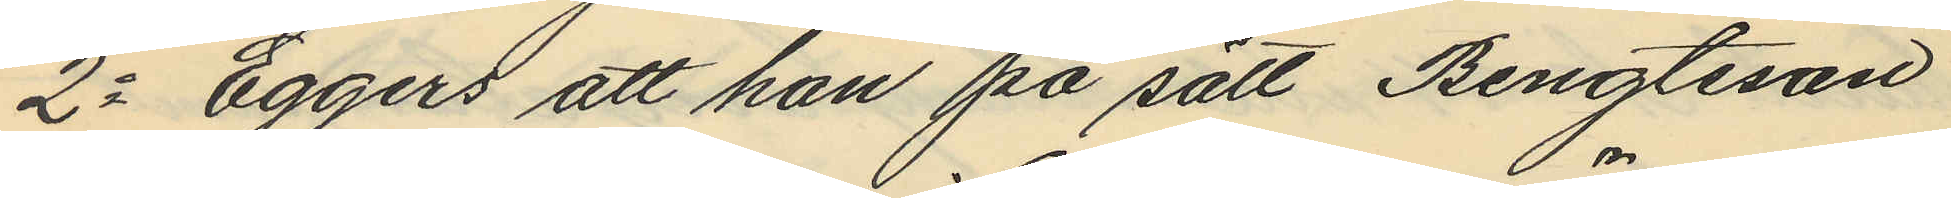2o Eggers att han på sätt Bengtsson
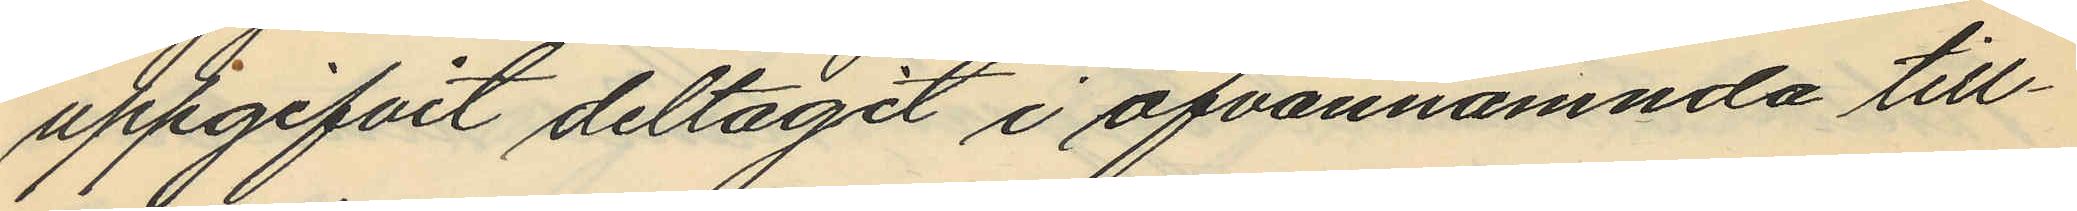uppgifvit deltagit i ofvannämnda till¬
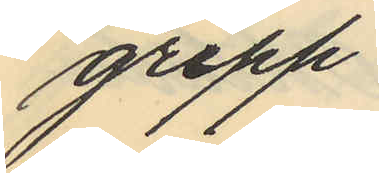grepp.
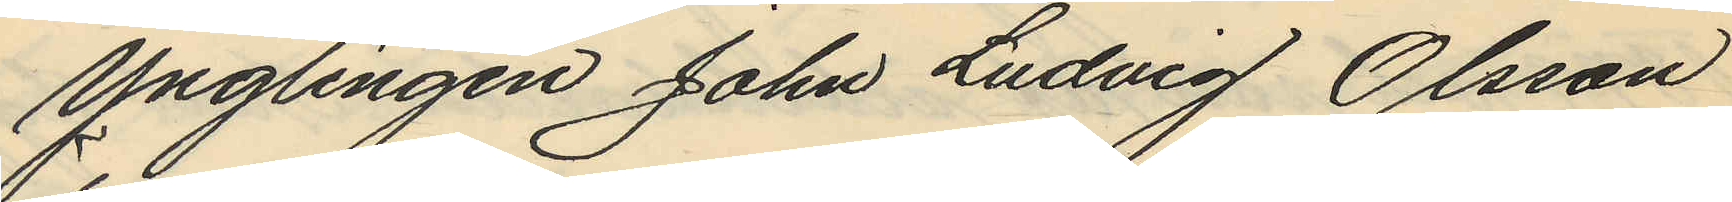ynglingen John Ludvig Olsson
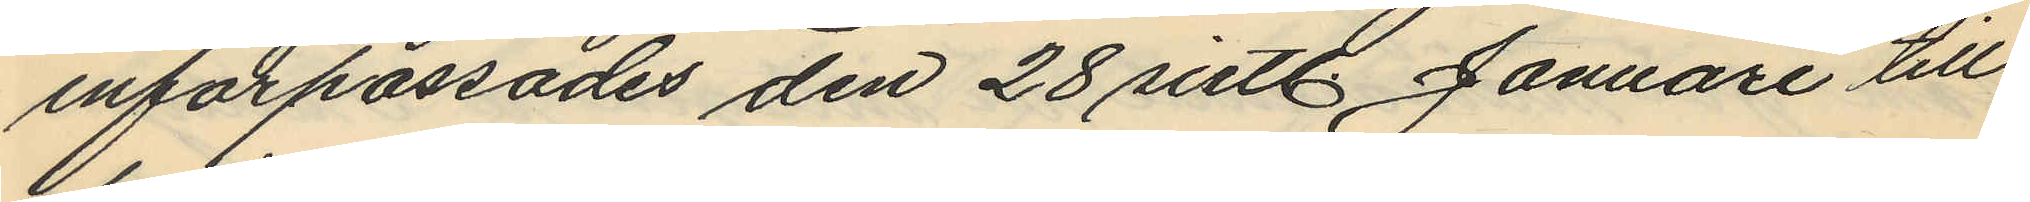införpassades den 28 sistl. Januari till
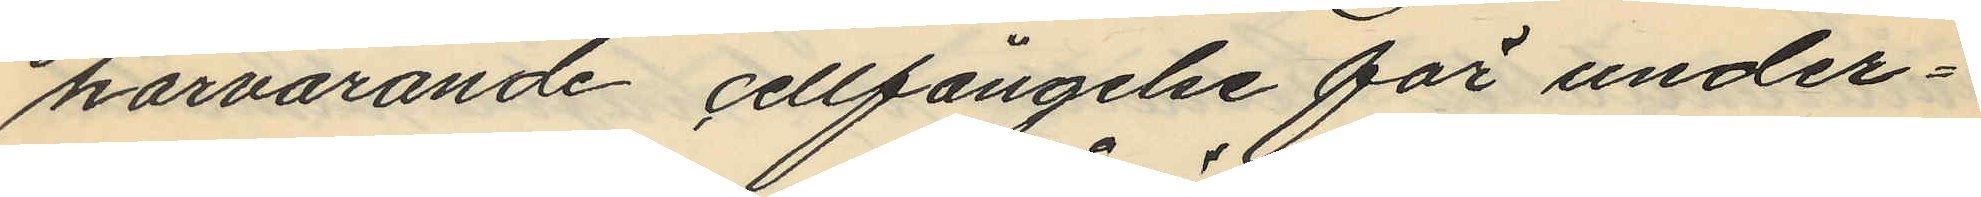härvarande cellfängelse för under¬
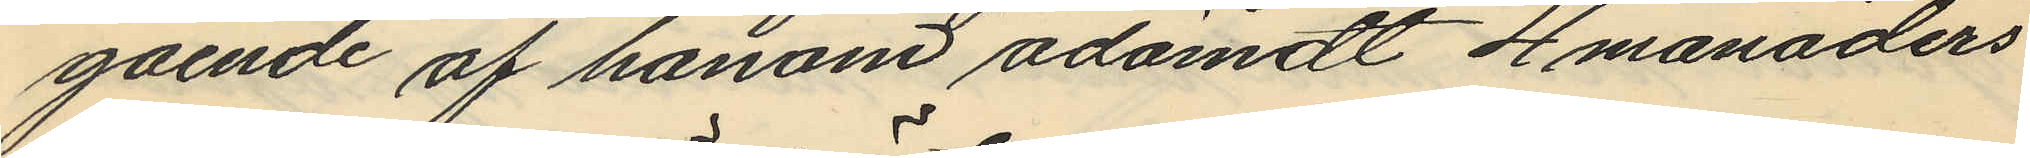gaende af honom ådömdt 4 månaders
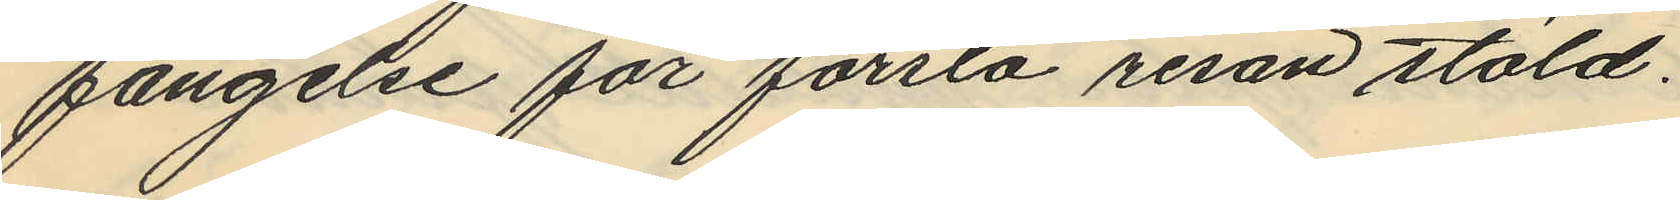fängelse för första resan stöld.
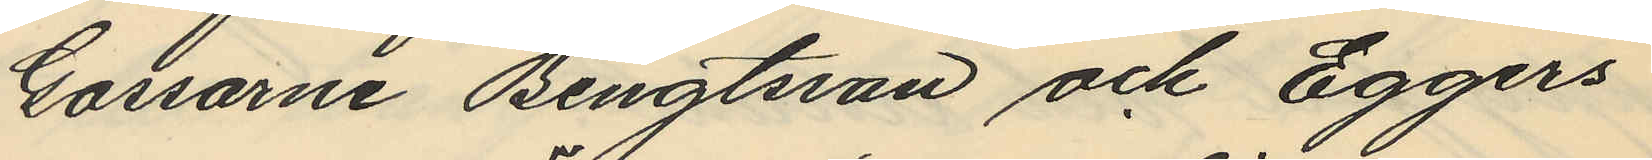Gossarne Bengtsson och Eggers
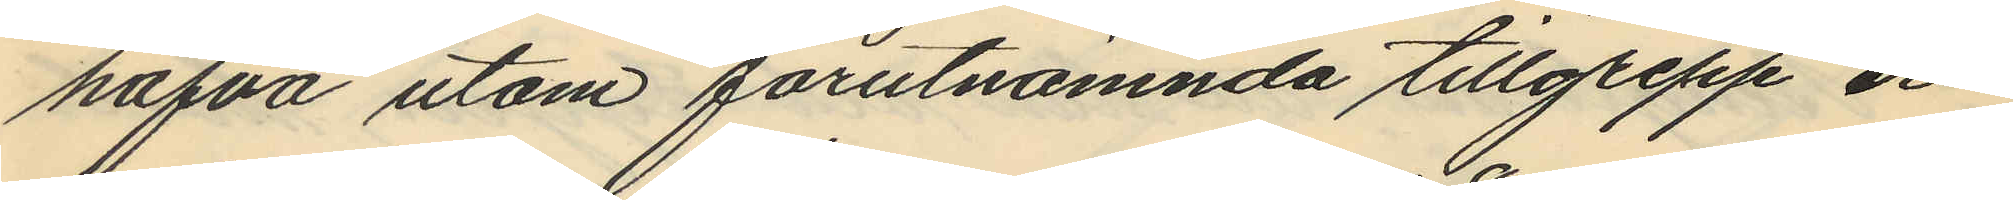hafva utom förutnämnda tillgrepp er¬
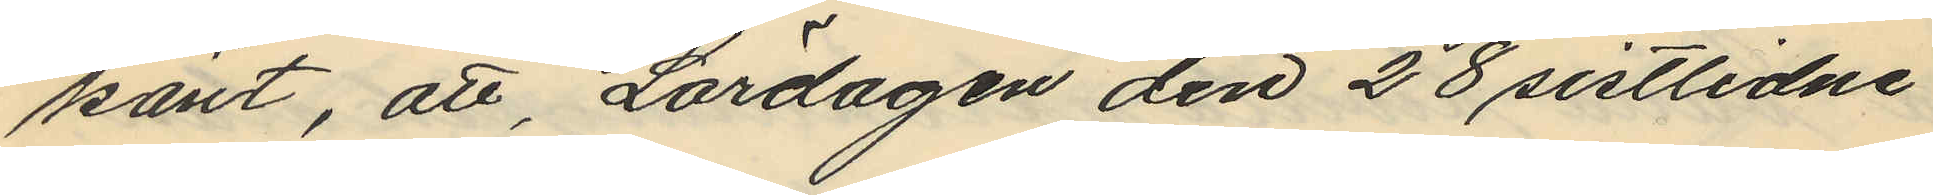känt, att, Lördagen den 28 sistlidne
